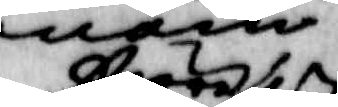större
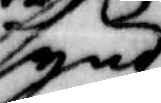synd
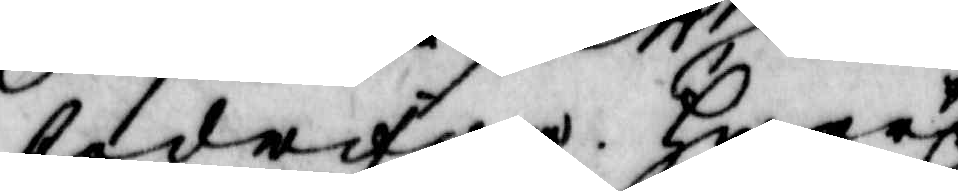bedrifwa. Hwar 
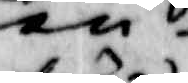före
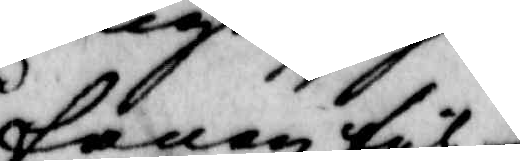fanen til¬
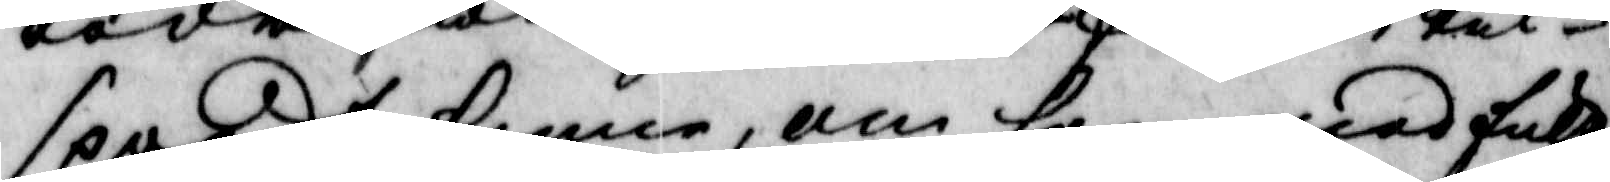spordt henne, om hon med fult
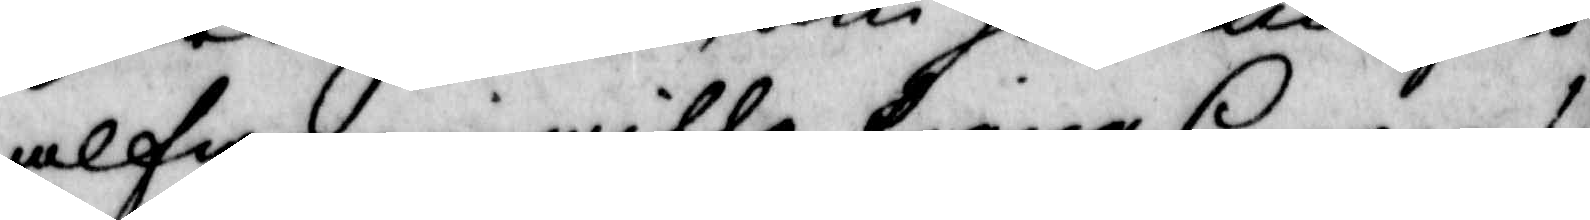alfware wille tiena honom?
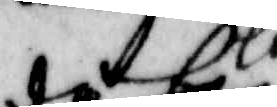då hon derwid swarat och lofwat
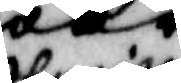Carin
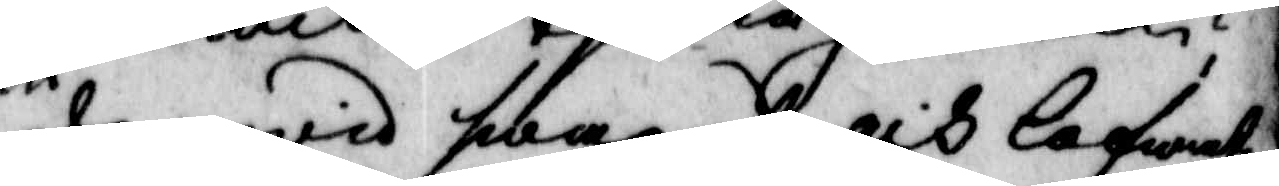derwid han derwid swarat och lofwat
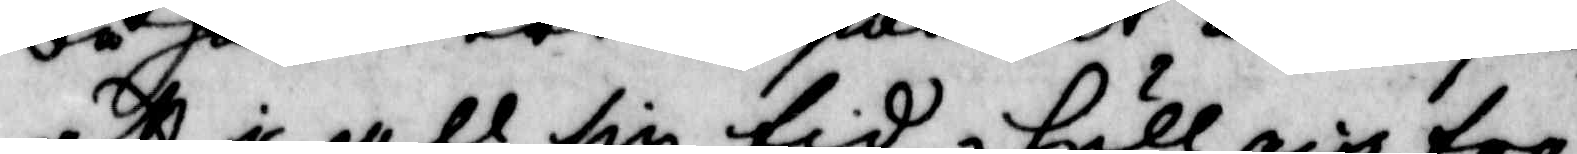att i all sin tid i full och tro
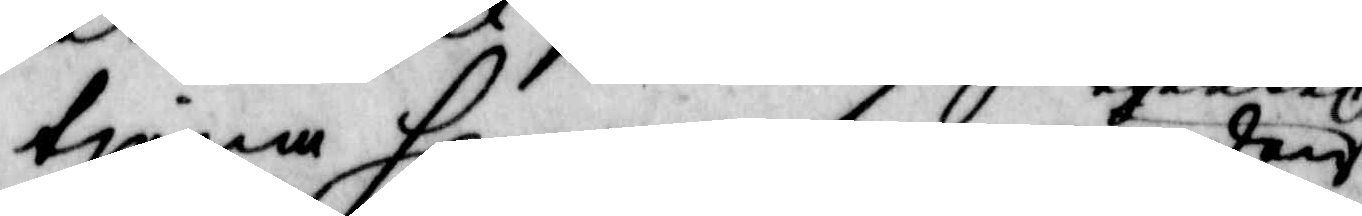tiena honom som är den
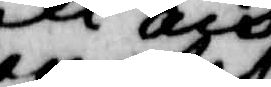epalet
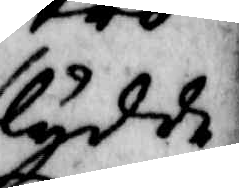flydde.
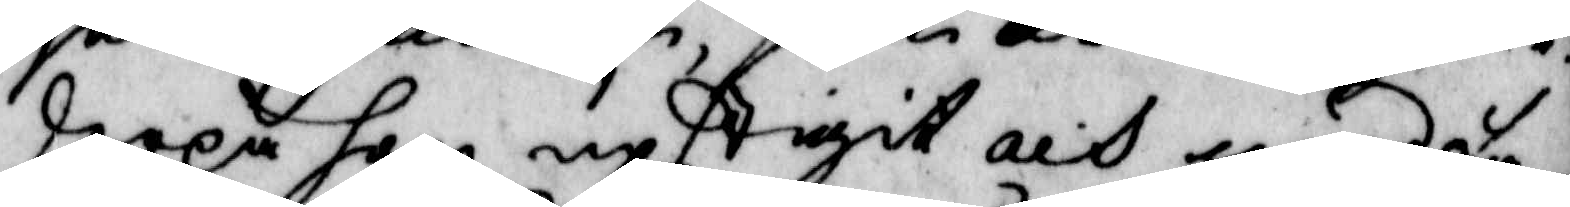derpå hon upstigit och med fa¬
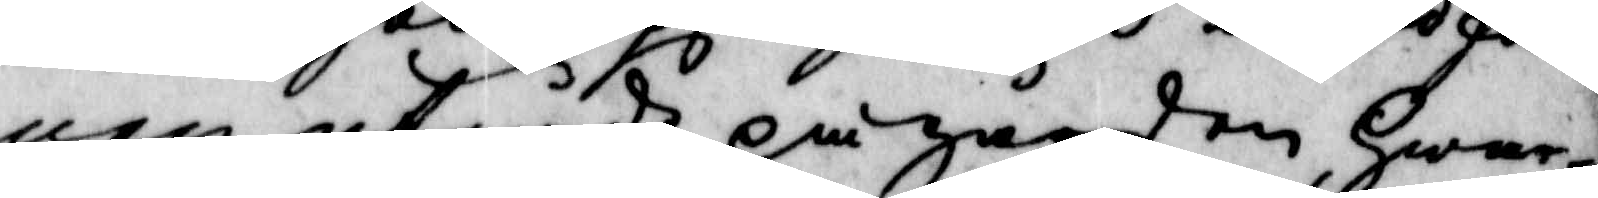nen utgådt på gården, Hwar¬
